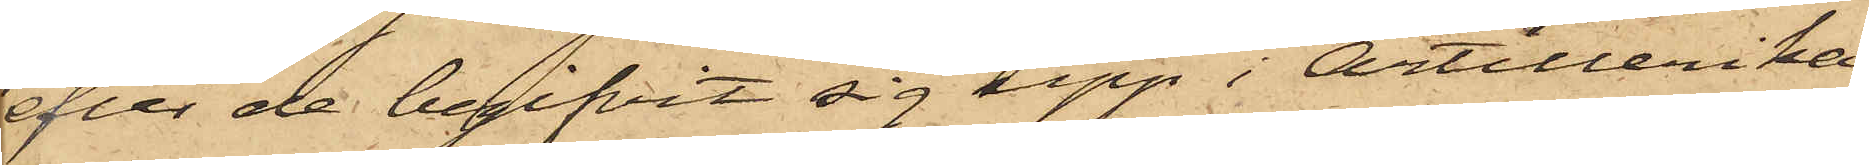efter de begifvit sig upp i Artillerika¬
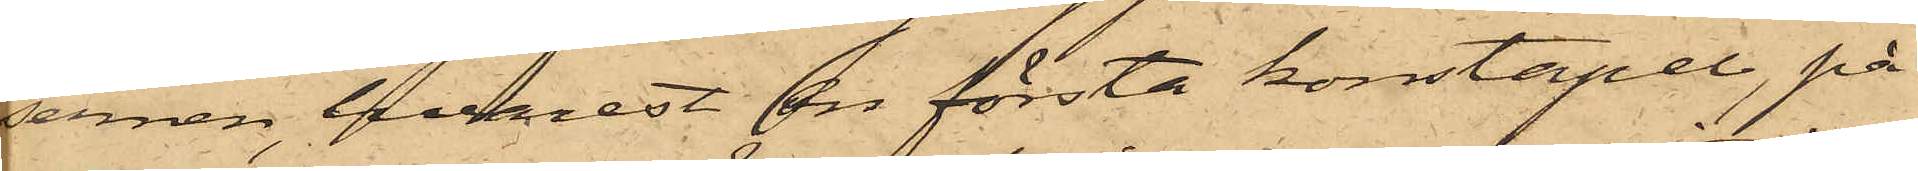sernen, hvarest en första konstapel, på
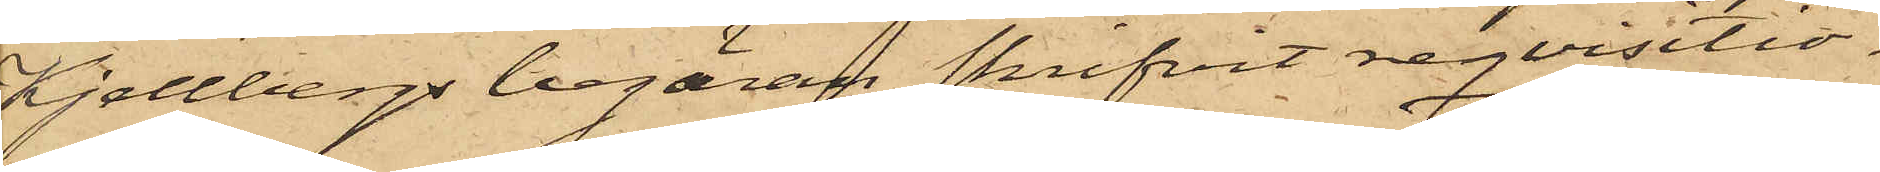Kjellbergs begäran skrifvit reqvisitio¬
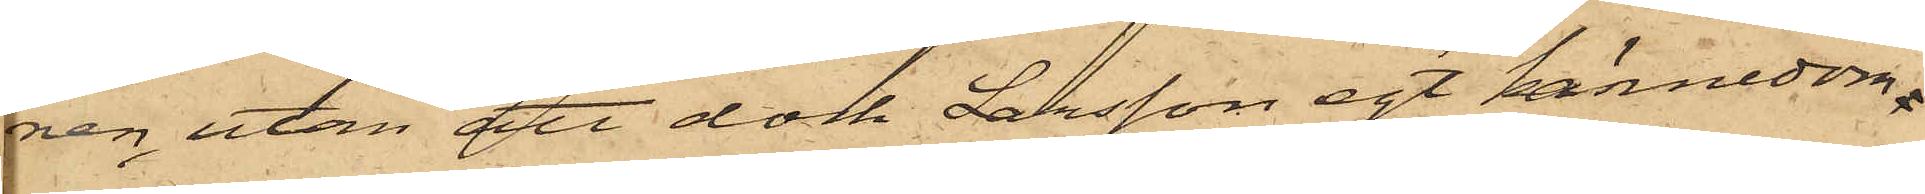nen, utan att dock Larsson egt kännedom
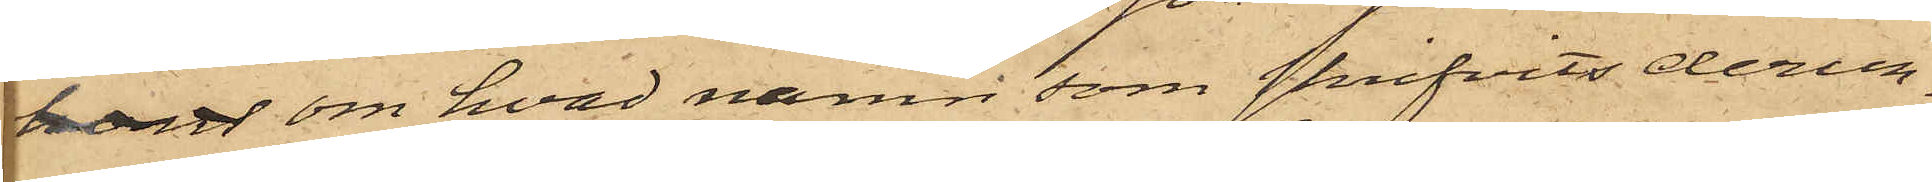hans om hvad namn som skrifvits derun¬
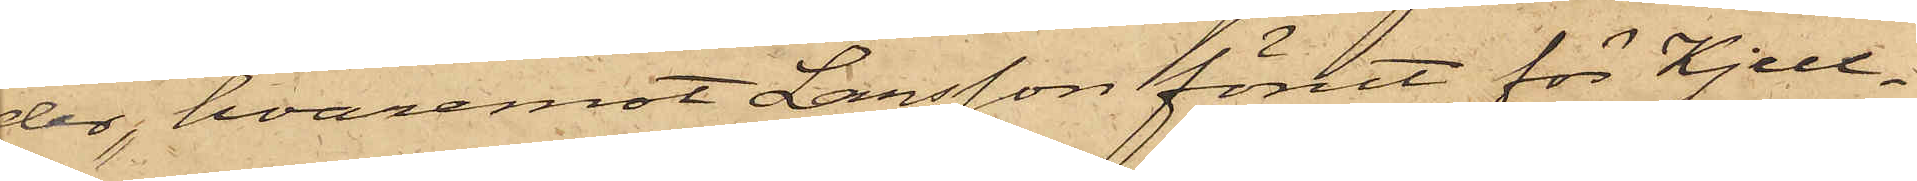der, hvaremot Larsson förut för Kjell¬
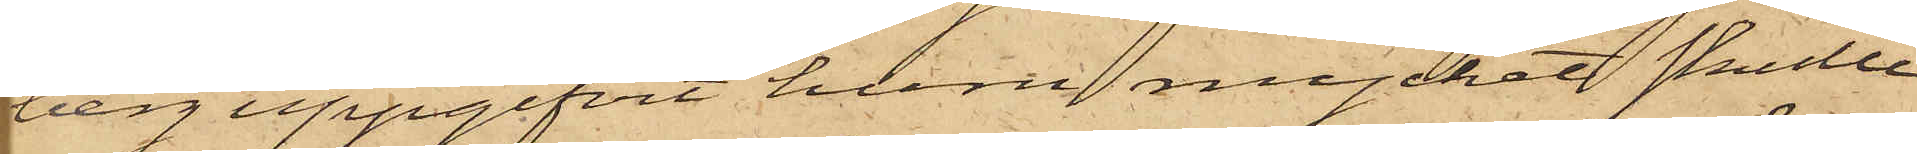berg uppgifvit huru mycket skulle
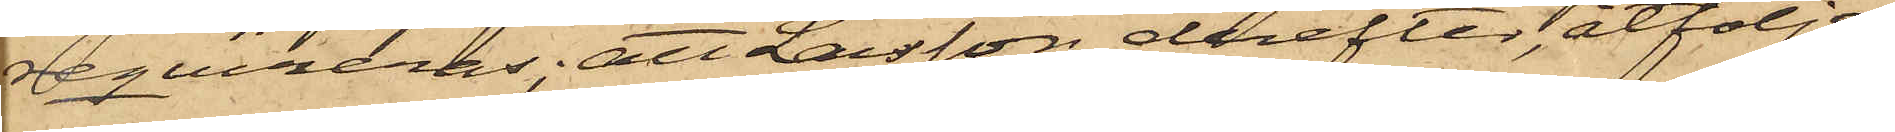reqvireras; att Larsson derefter, åtföljd
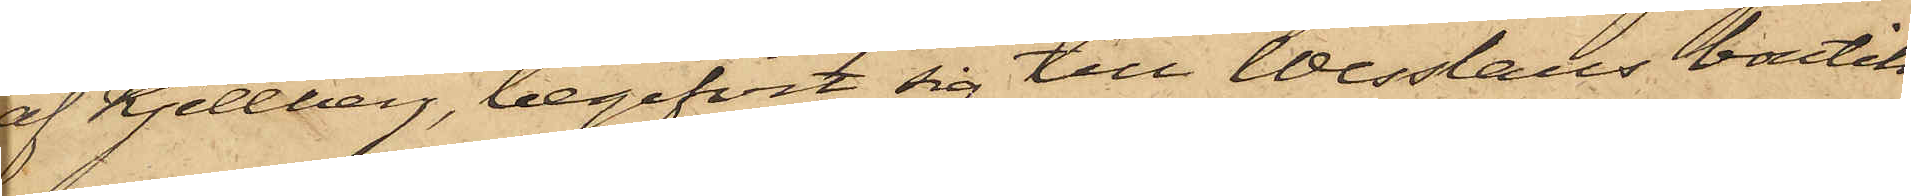af Kjellberg, begifvit sig till Wesslaus boutik
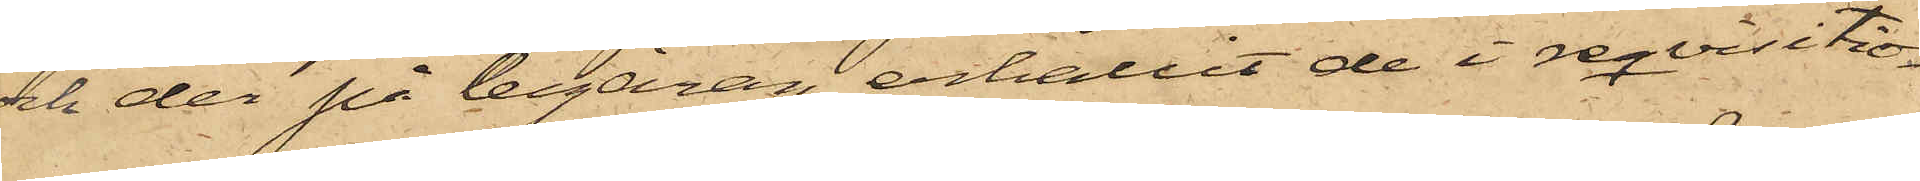och der på begäran erhållit de i reqvisitio¬
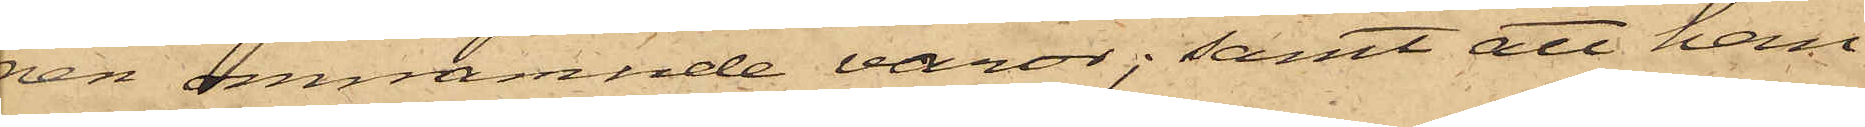nen omnämnde varor; samt att han
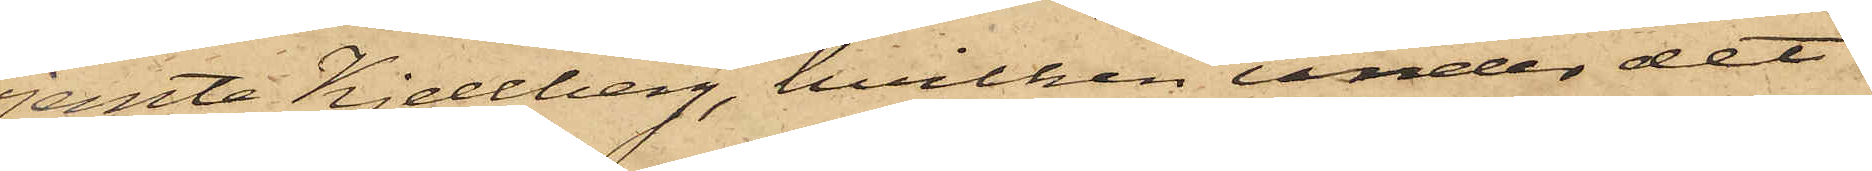jemte Kjellberg, hvilken under det
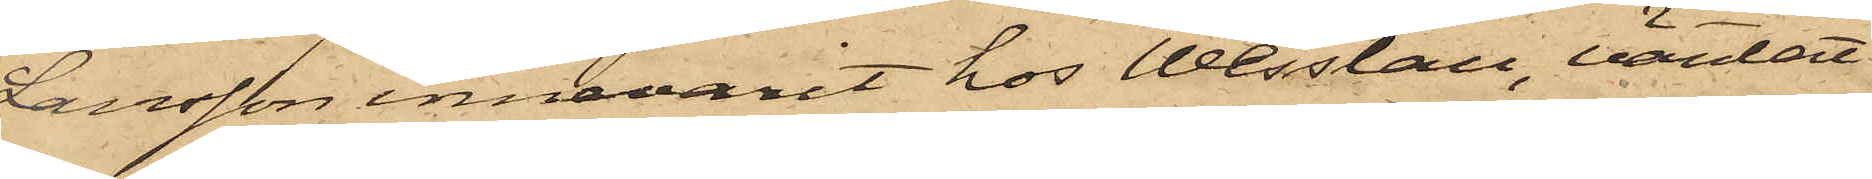Larsson innevarit hos Wesslau, väntat
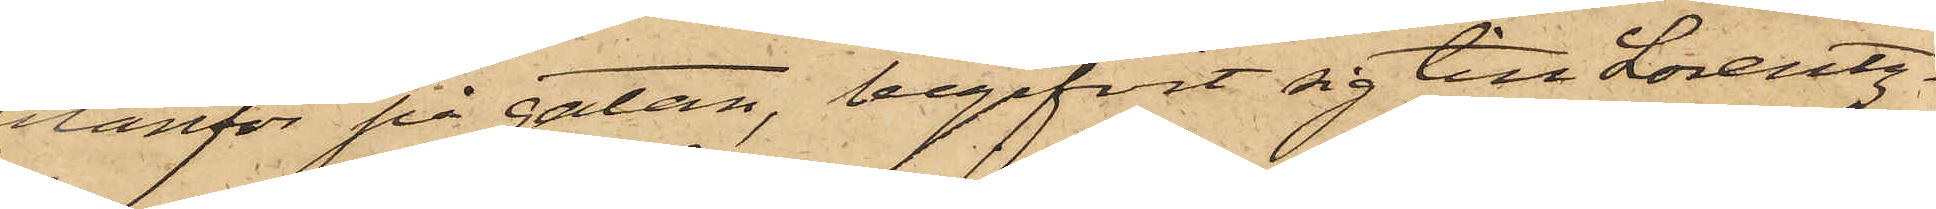utanför på gatan, begifvit sig till Lorentz¬
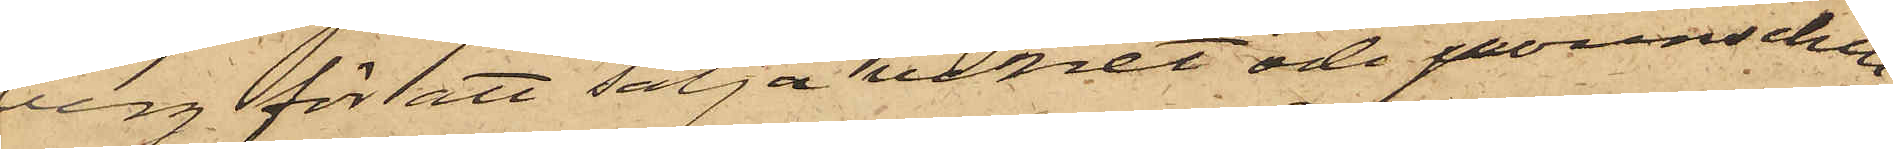berg för att sälja vinet och pounschen
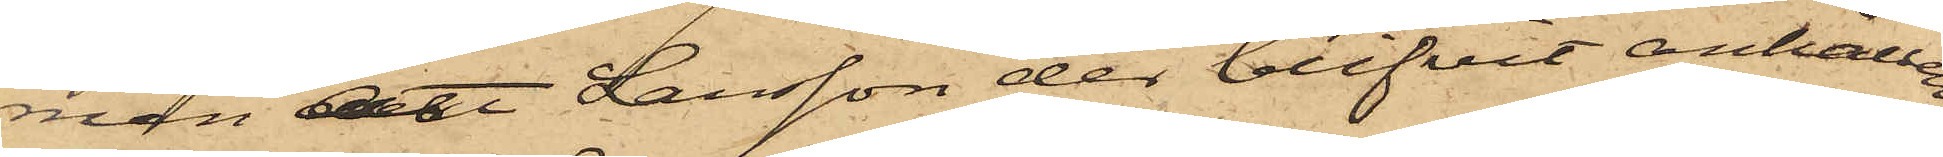men att Larsson der blifvit anhållen;
